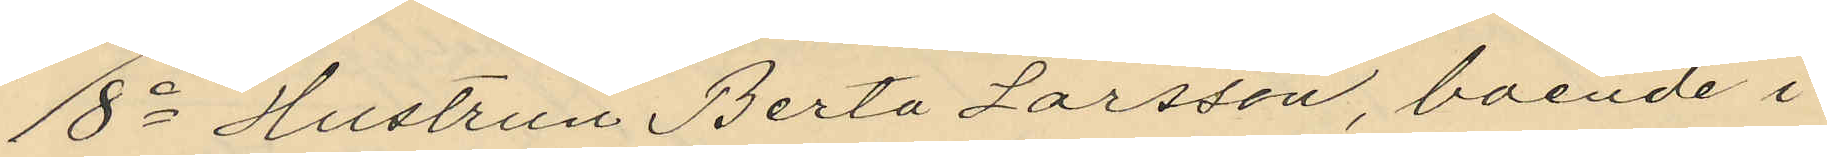8o Hustrun Berta Larsson, boende i
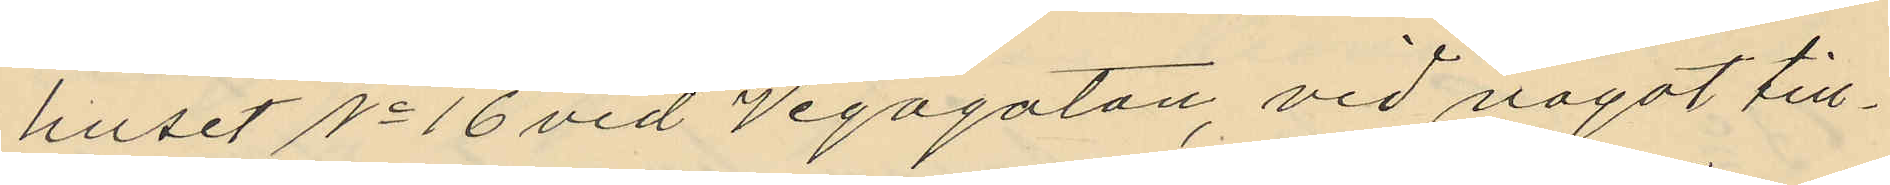huset No 16 vid Vegagatan, vid något till¬
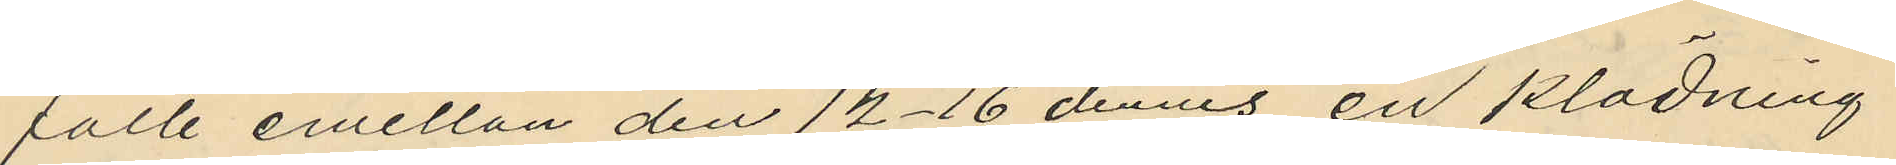fälle emellan den 14-16 dennes en klädning
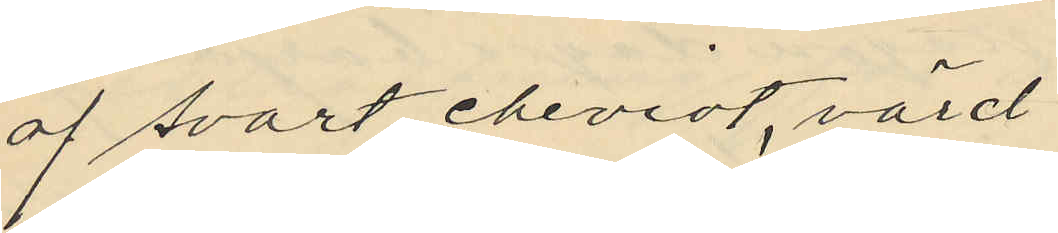af svart cheviot, värd
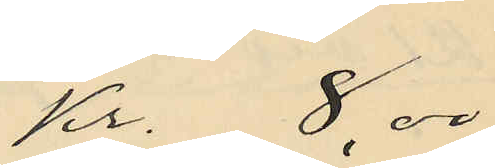Kr. 8,00
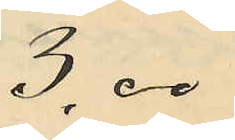3,00
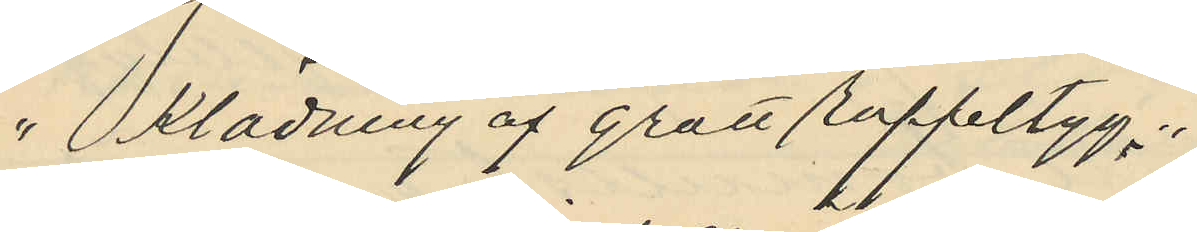" klädning af grått ruffeltyg "
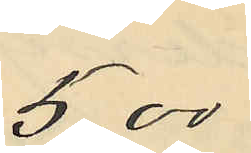5,00
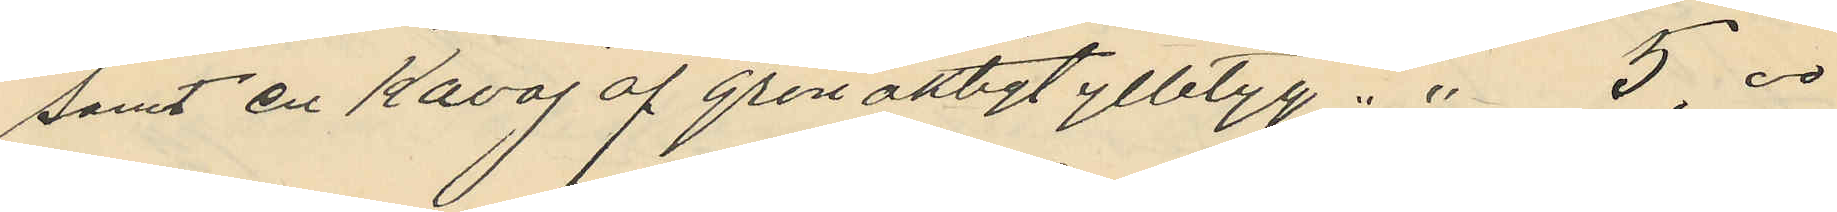samt en kavaj af grönaktigt ylletyg " " 5,00
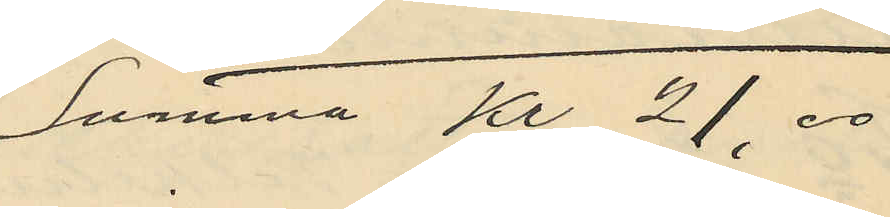Summa Kr 21,00
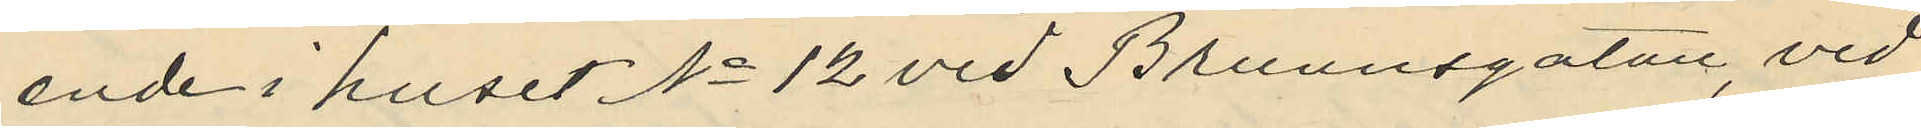ende i huset No 12 vid Brunnsgatan, vid
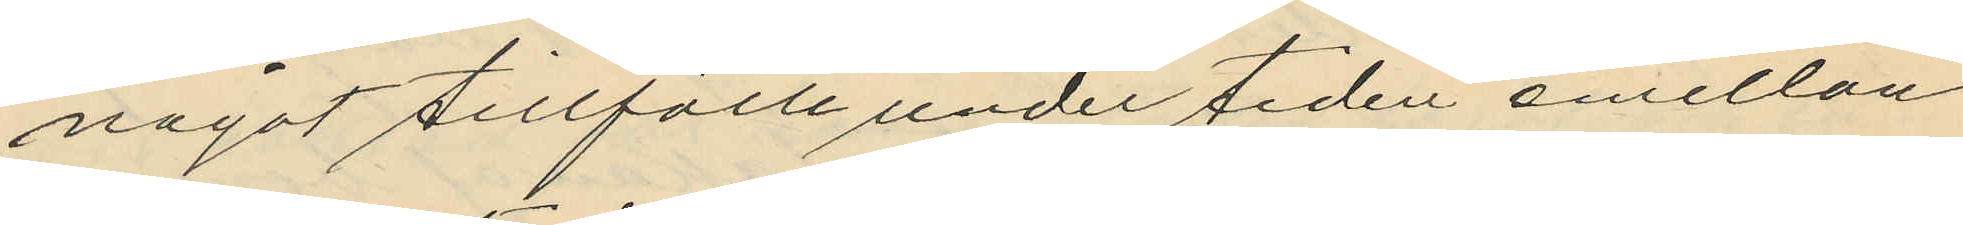något tillfälle under tiden emellan
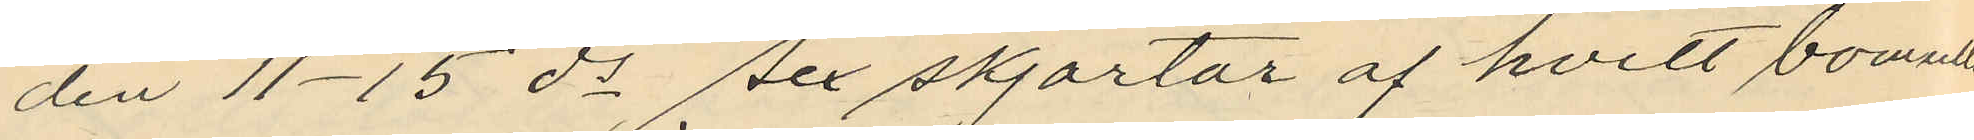den 11-15 ds sex skjortor af hvitt bomulls¬
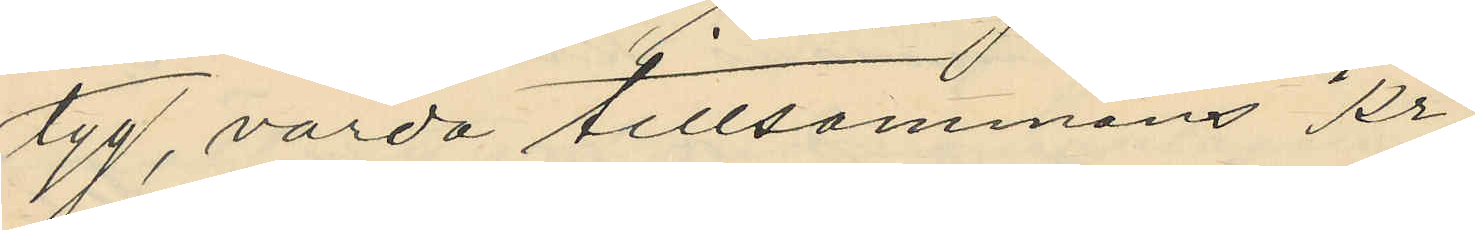tyg, värda tillsammans Kr
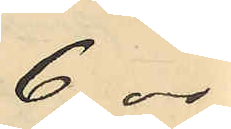6,00
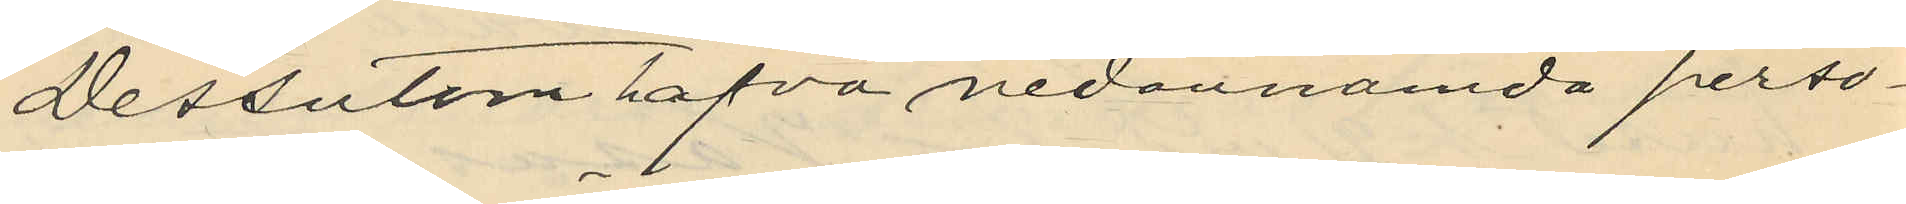Dessutom hafva nedannämda perso¬
